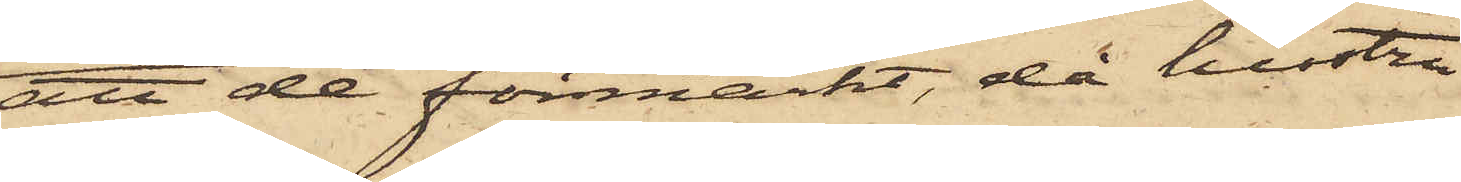att de förmärkt, då hustru
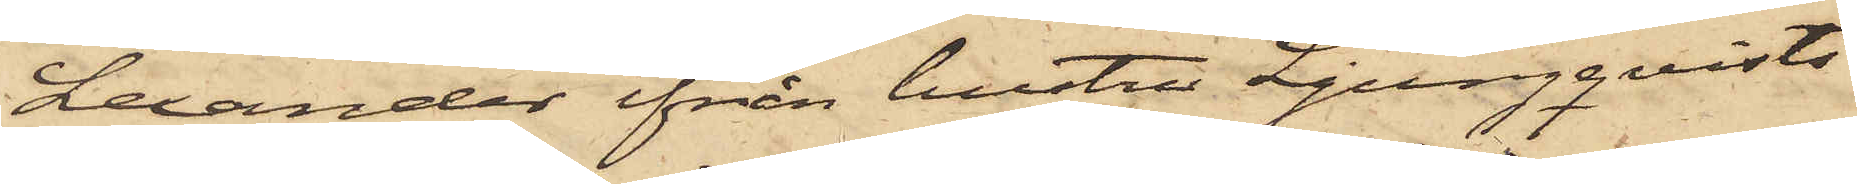Lexander ifrån hustru Ljungqvists
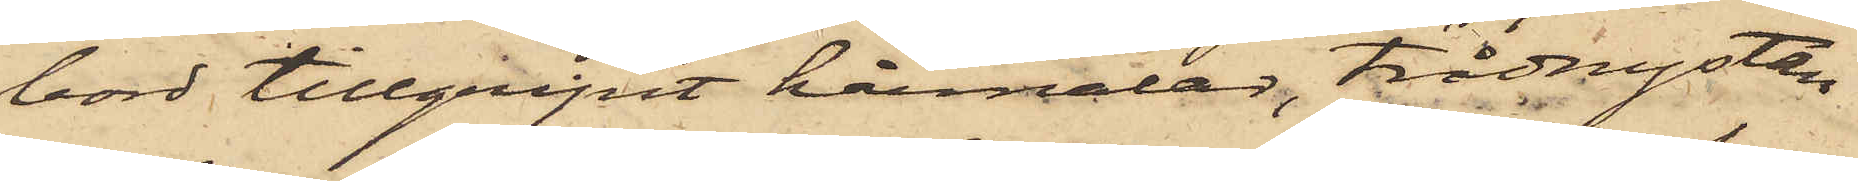bord tillgripit hårnålar, trådnystan
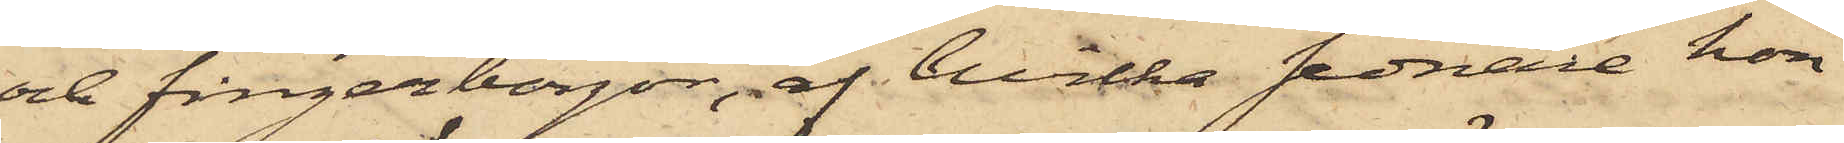och fingerborgar, af hvilka sednare hon
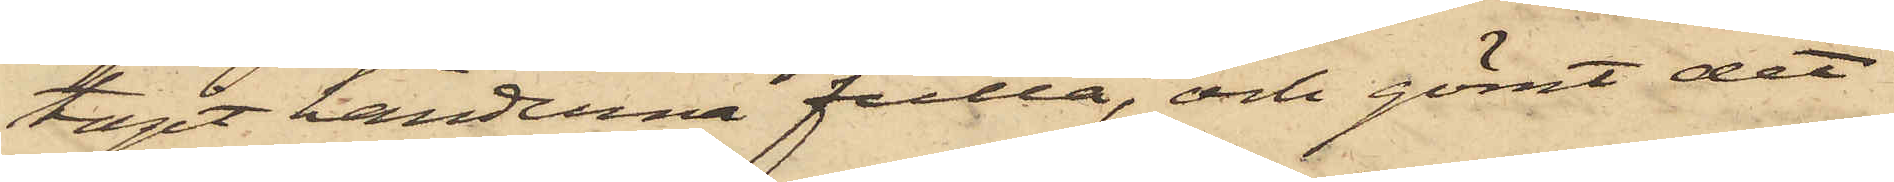tagit händerna fulla, och gömt det
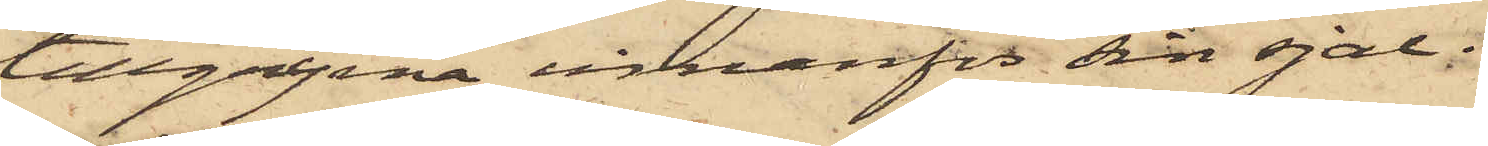tillgripne innanför sin sjal;
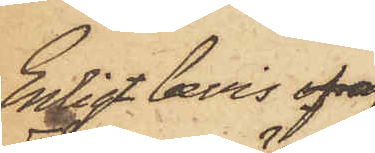Enligt bevis ofr af
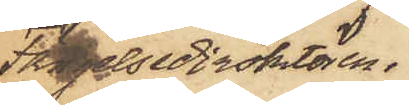Fängelsedirektören.
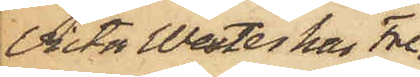Victor Wester har Fre¬
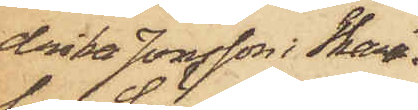drika Jonsson i Skara¬
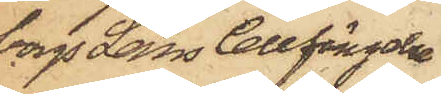borgs Läns Cellfängelse
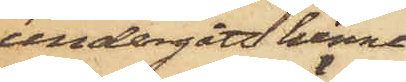undergått henne
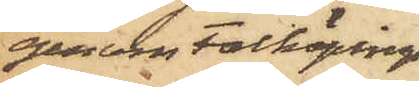genom Falköpings
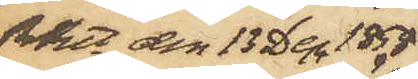RRtt den 13 Dec 1858
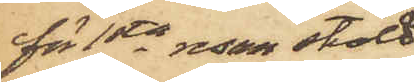för 1sta resan stöld
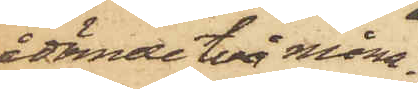ådömde två måna¬
